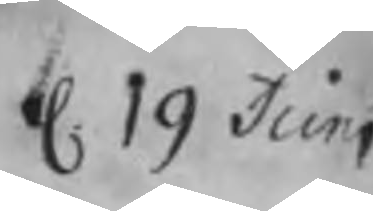d. 19 Juni
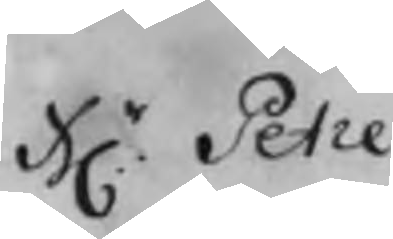Hr. Petre
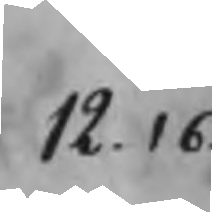12.16
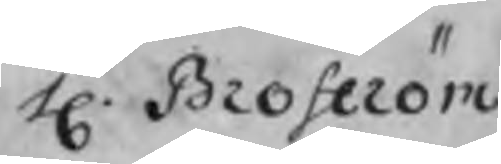H. Broström
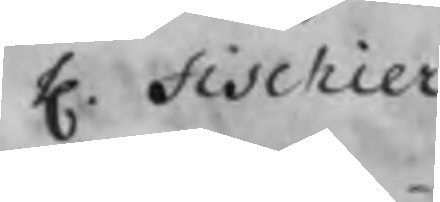H. Fischier
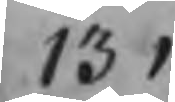13.1
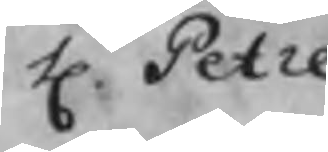H. Petre
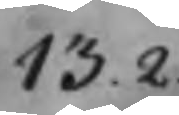13.2
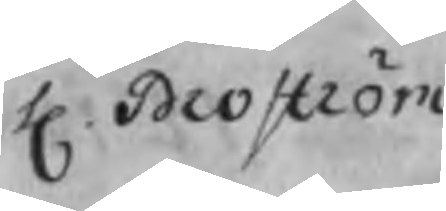H. Broström
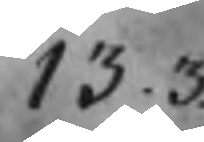13.3
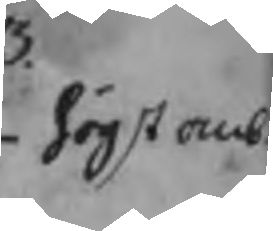högsta anb.
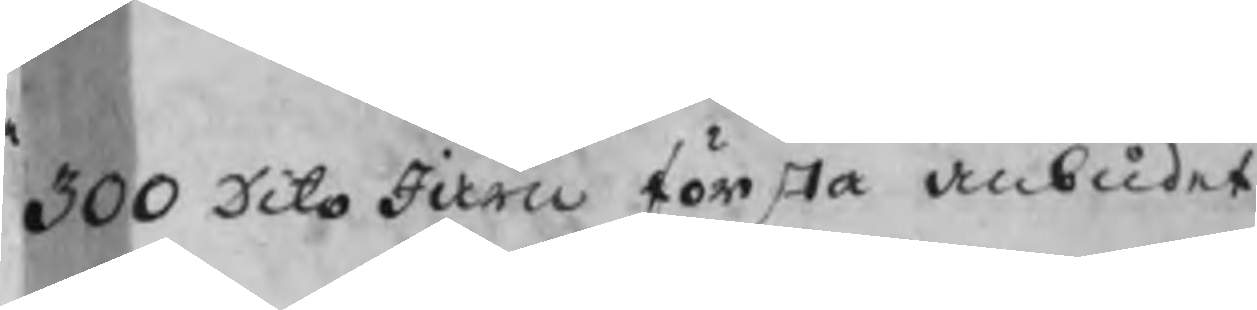300 Dito Järn första anbudet
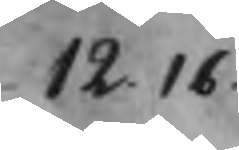12.16
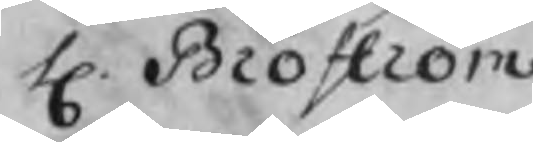H. Broström
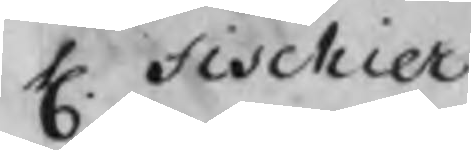H. Fischier
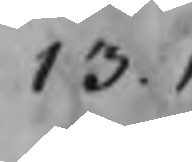13.1
